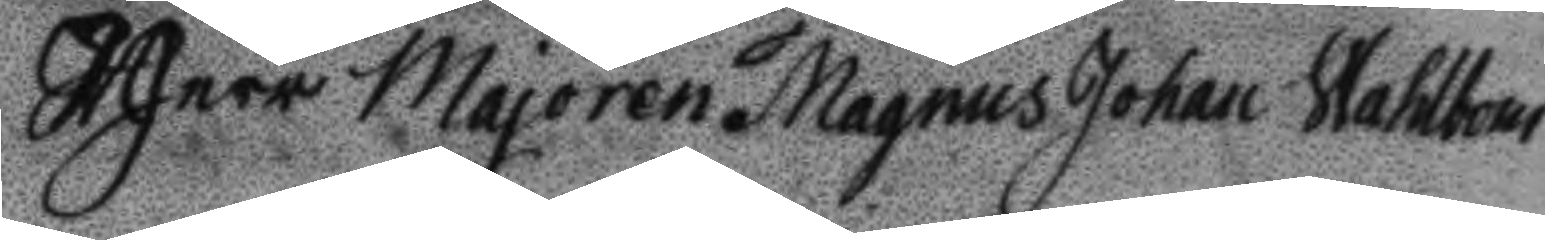Herr Majoren Magnus Johan Wahlbom
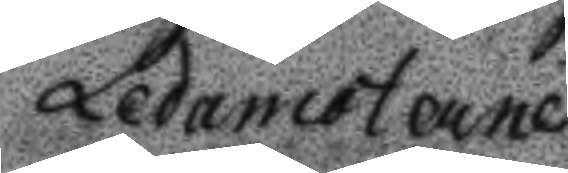Ledamöterne
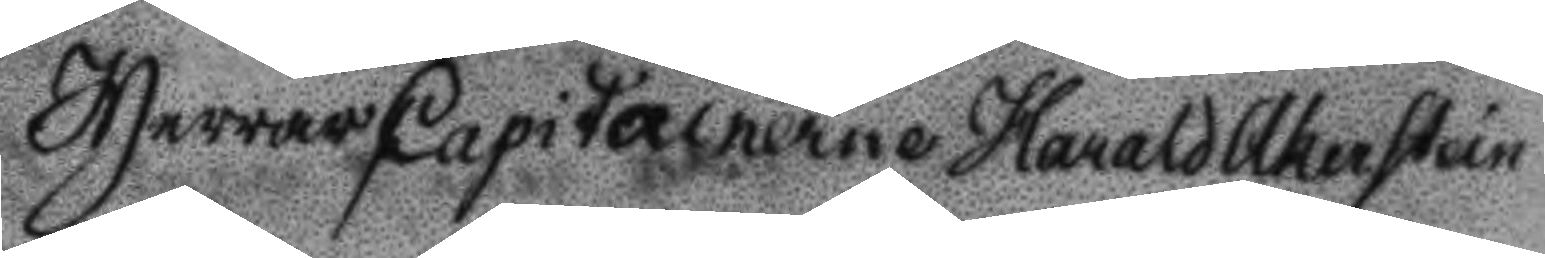Herrar Capitainerne Harald Akerstein
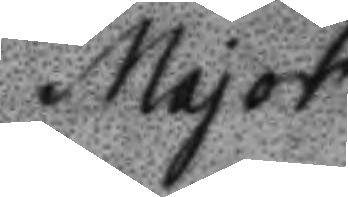Major
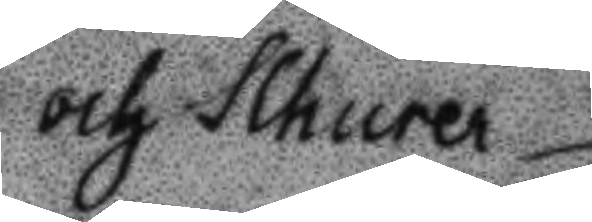och Schurer
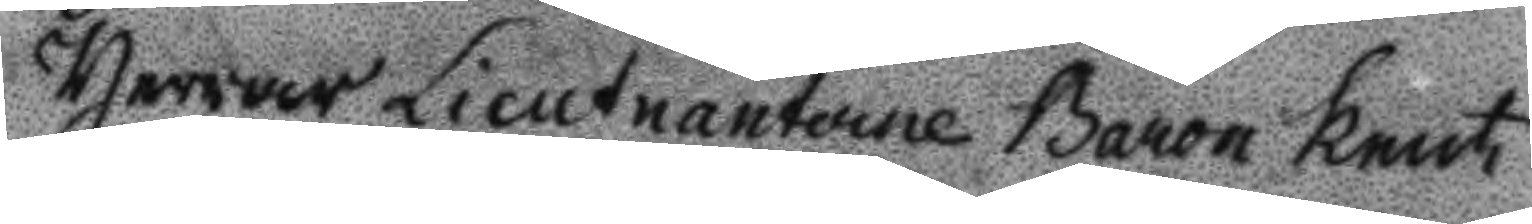Herrar Lieutnanterne Baron Knut
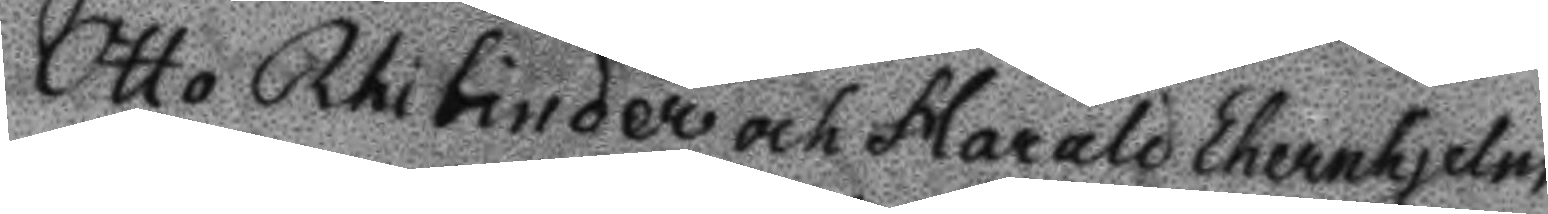Otto Rhibinder och Harald Ehrenhjelm
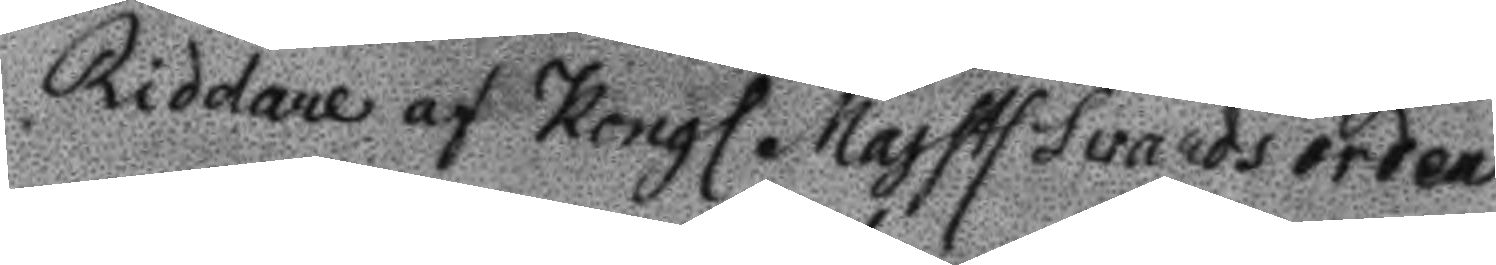Riddare af Kongl. Majsts Svärdsorden
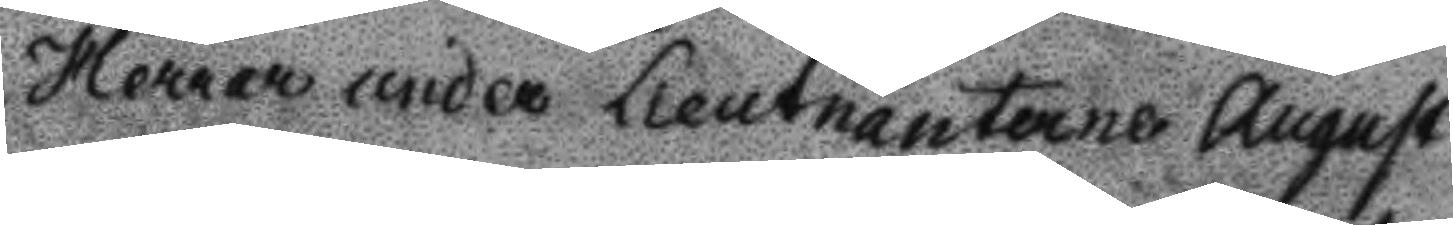Herrar under Lieutnanterne August
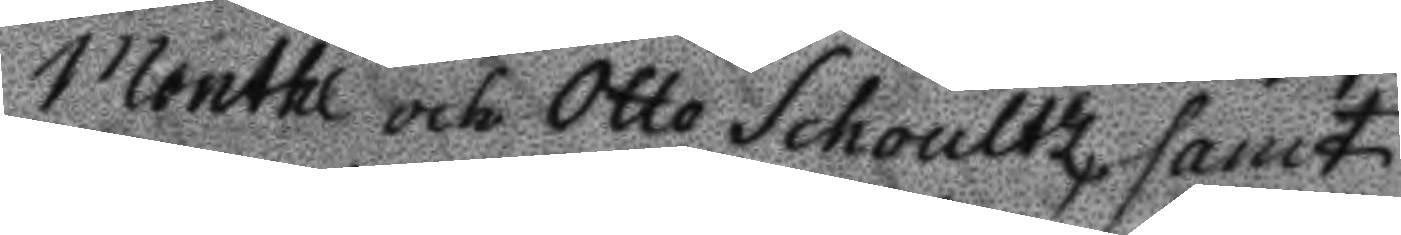Monthl och Otto Schoultz, samt
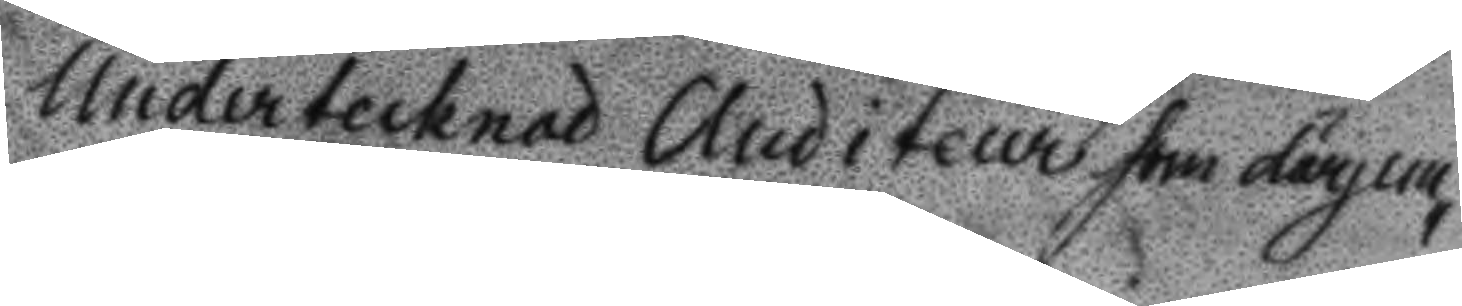Undertecknad Auditeur som därjem¬
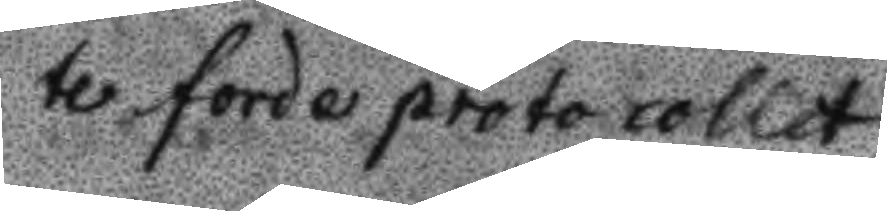te förde protocollet
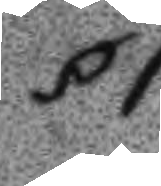§1
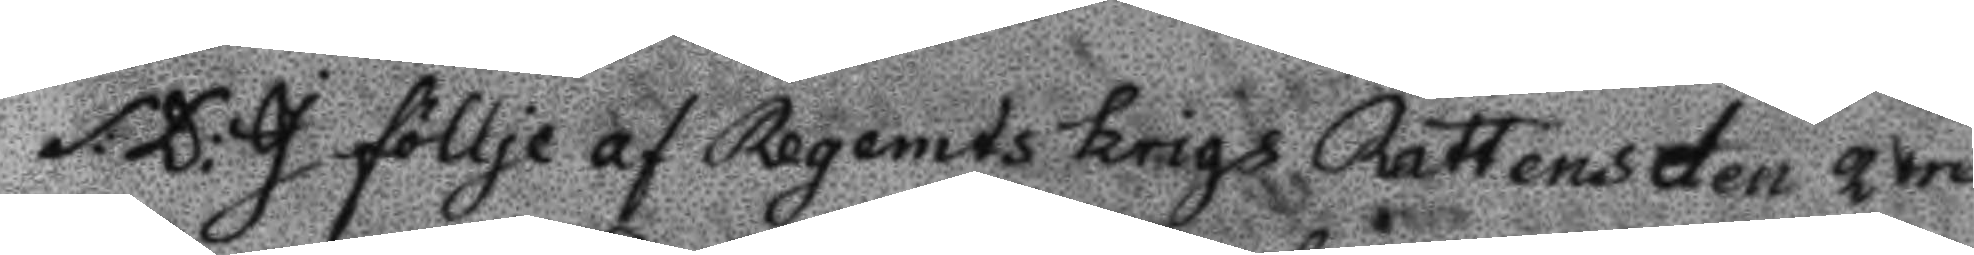S:D: I föllje af Regemts Krigs Rättens den 2dre
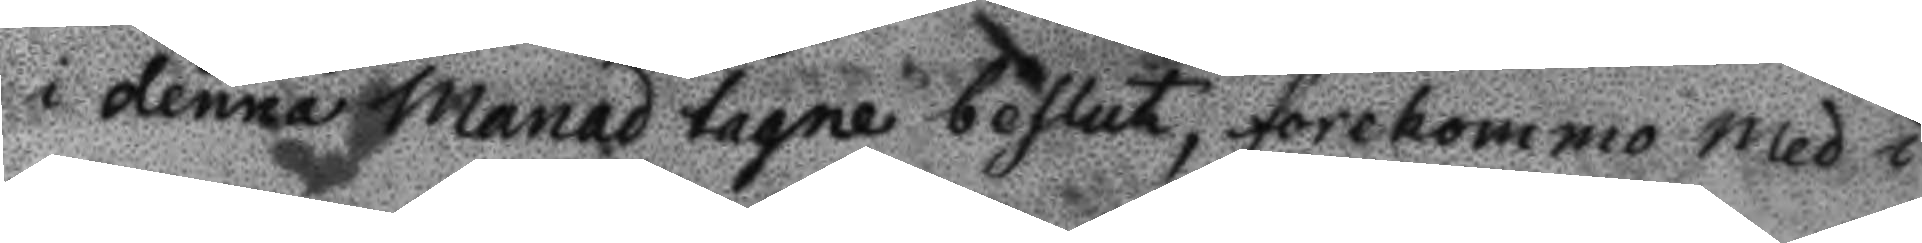i denna Månad tagne beslut, förekommo med i
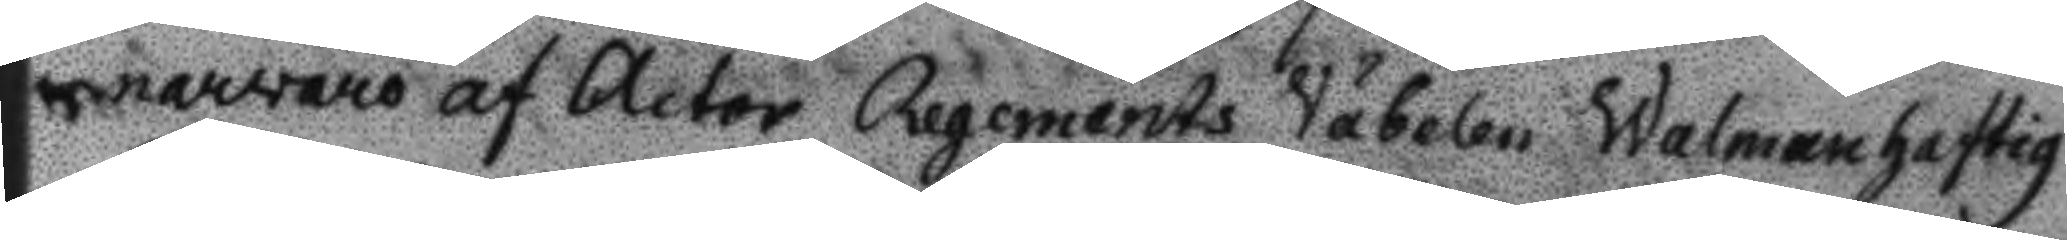narwaro af Actor Regements Väbelen Walmanhaftig
